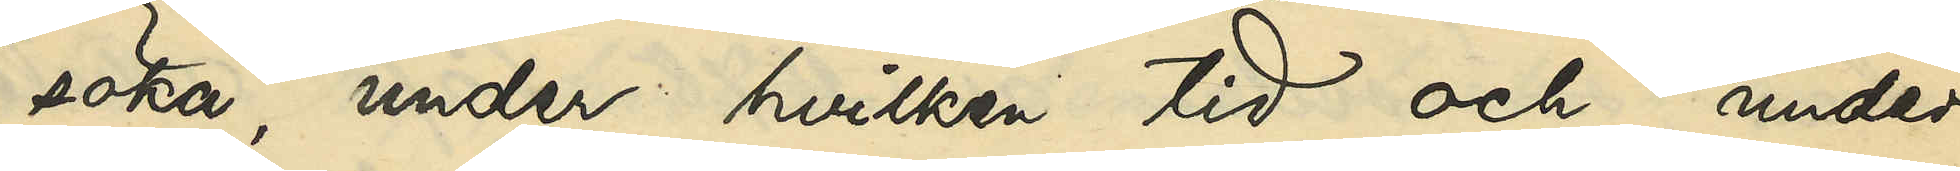söka, under hvilken tid och under
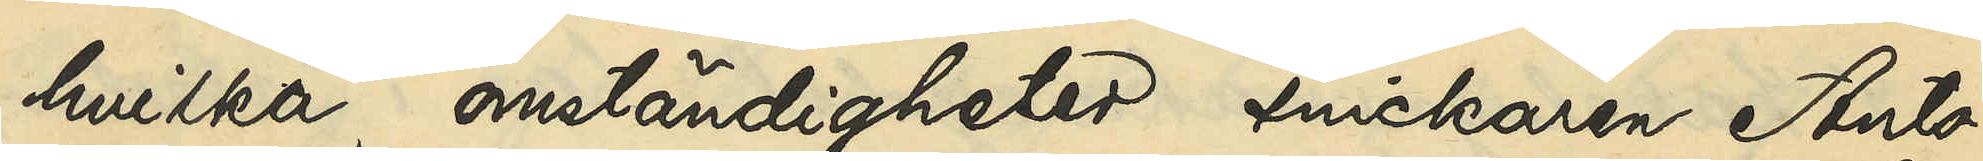hvilka omständigheter snickaren Anto¬
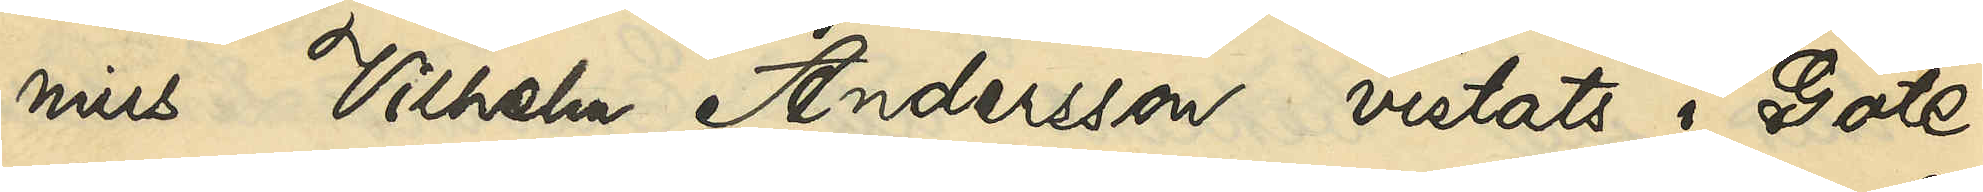nius Vilhelm Andersson vistats i Göte¬
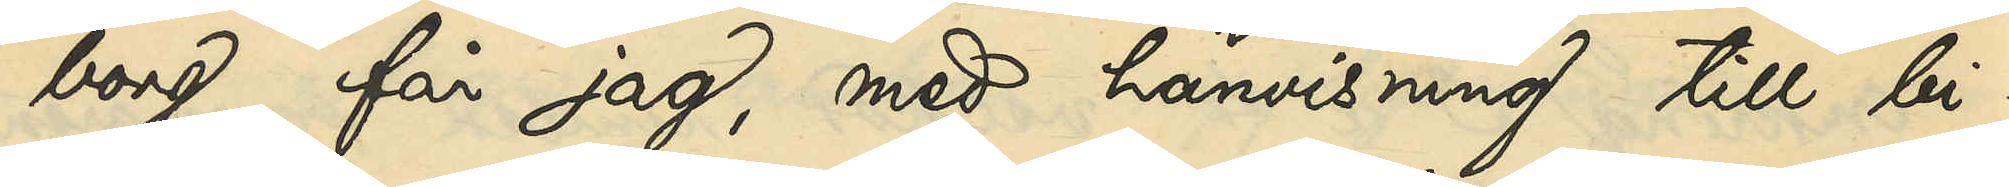borg, får jag, med hänvisning till bi¬
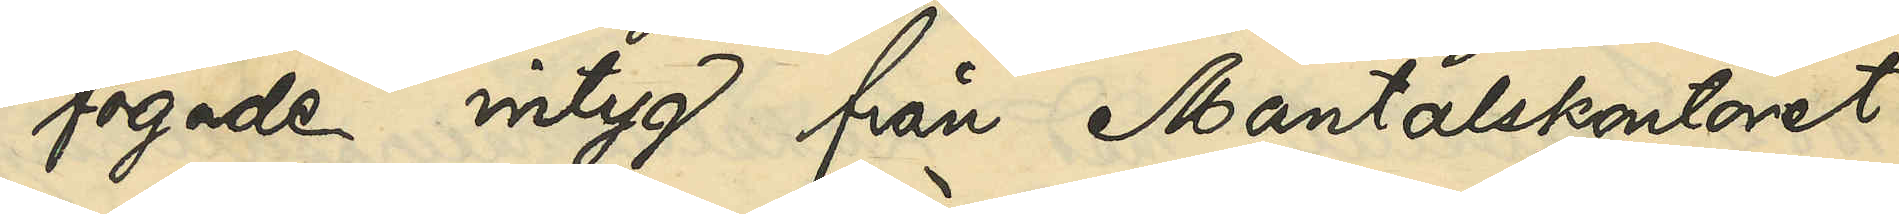fogade intyg från Mantalskontoret
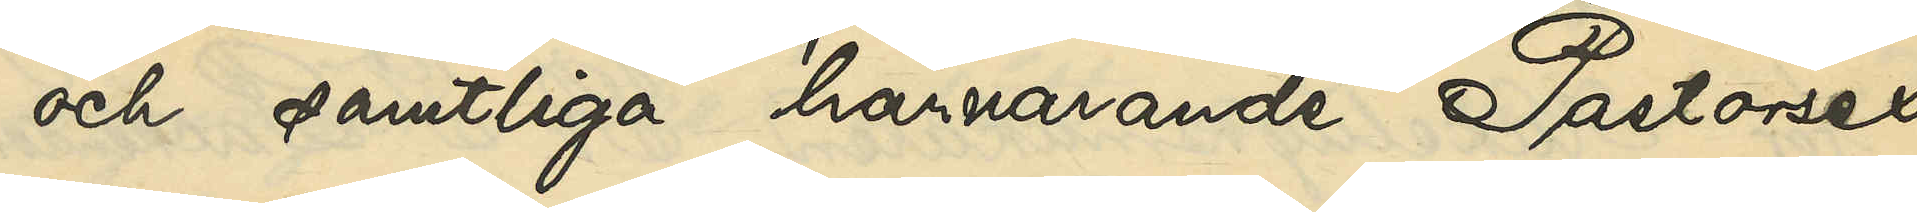och samtliga härvarande Pastorsex¬
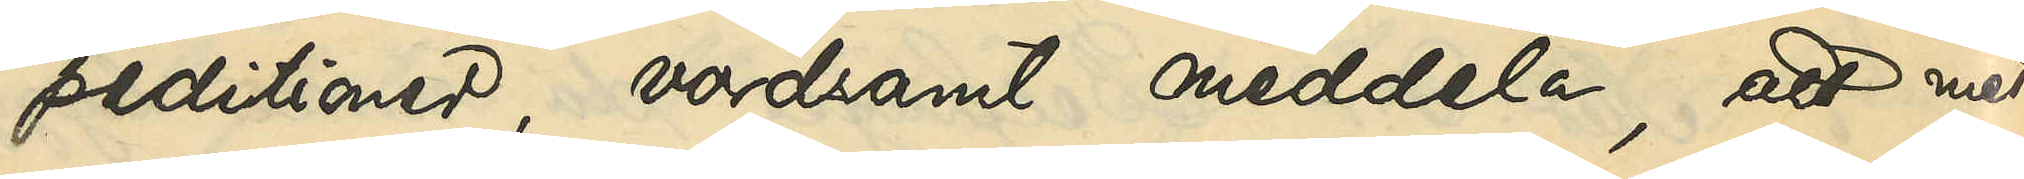peditioner, vördsamt meddela, att med
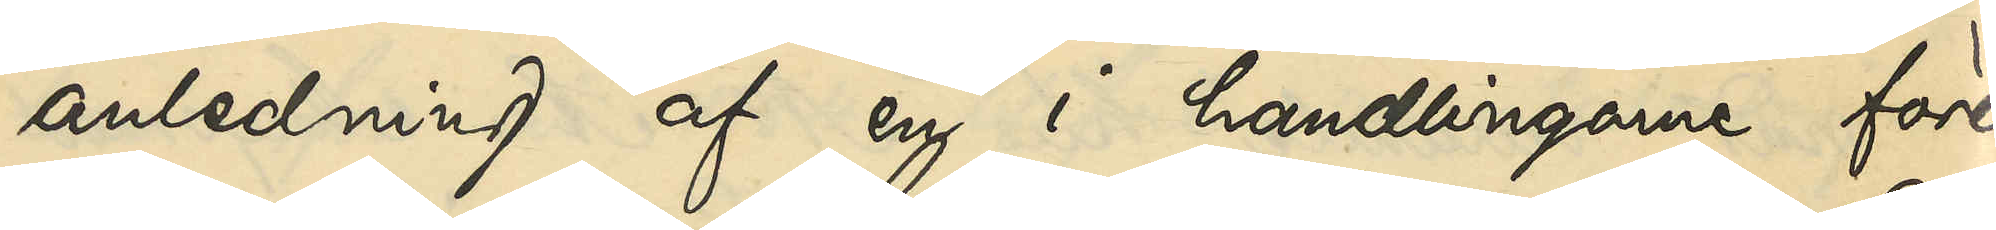anledning af en i handlingarne före¬
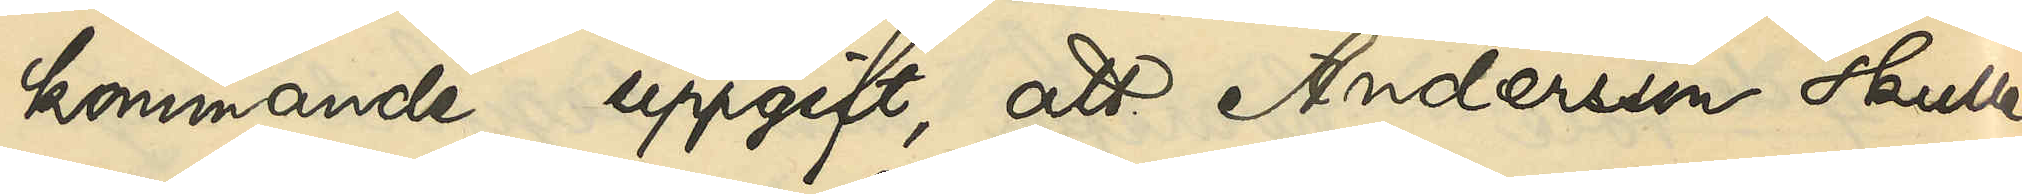kommande uppgift, att Andersson skulle
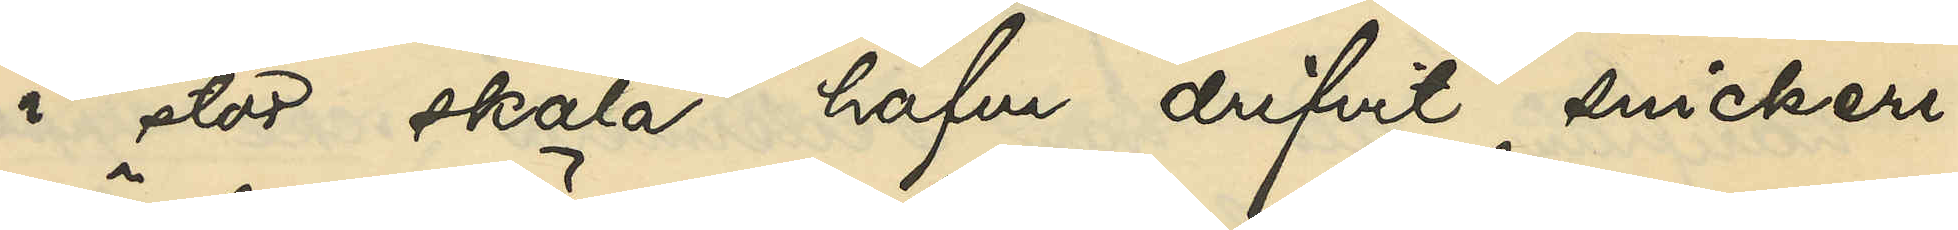i stor skala hafva drifvit snickeri¬
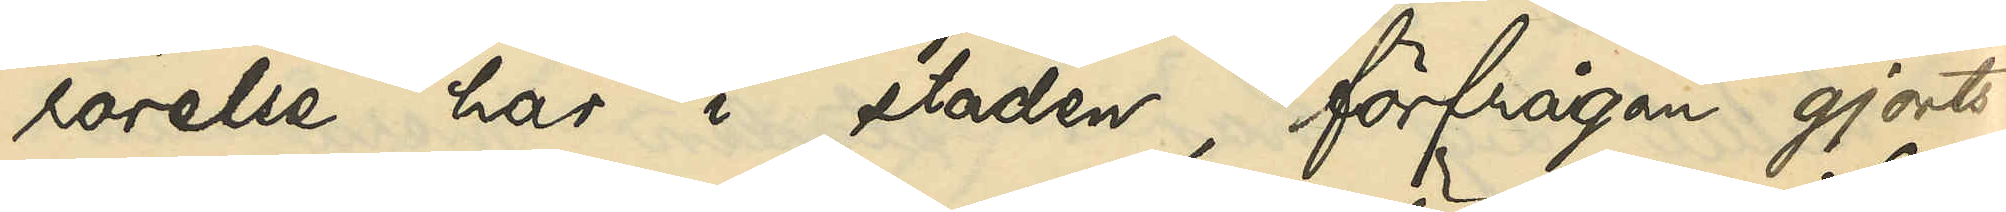rörelse här i staden, förfrågan gjorts
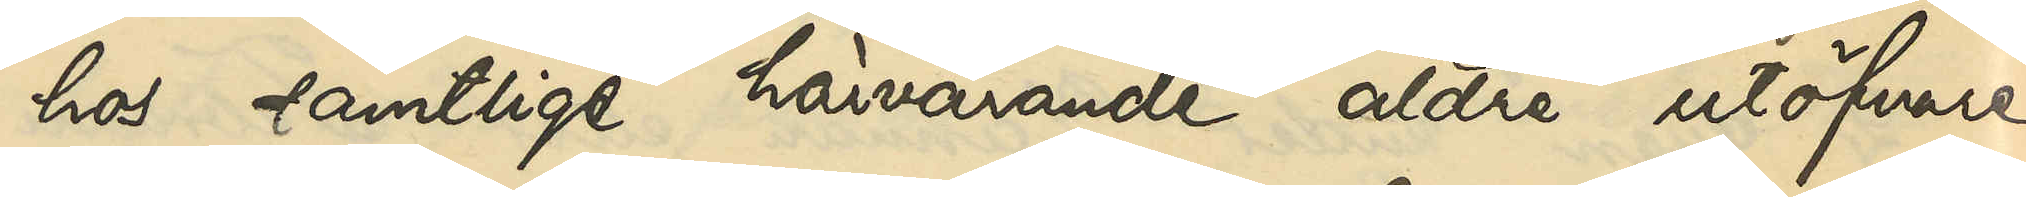hos samtligen härvarande äldre utöfvare
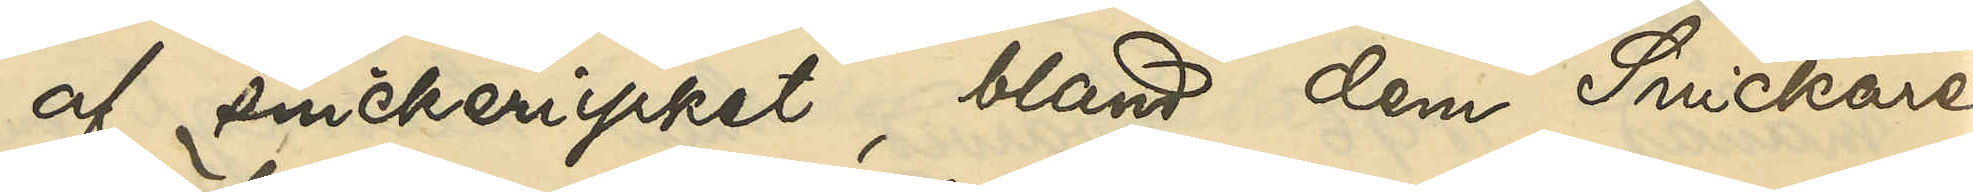af snickeriyrket, bland dem Snickare¬
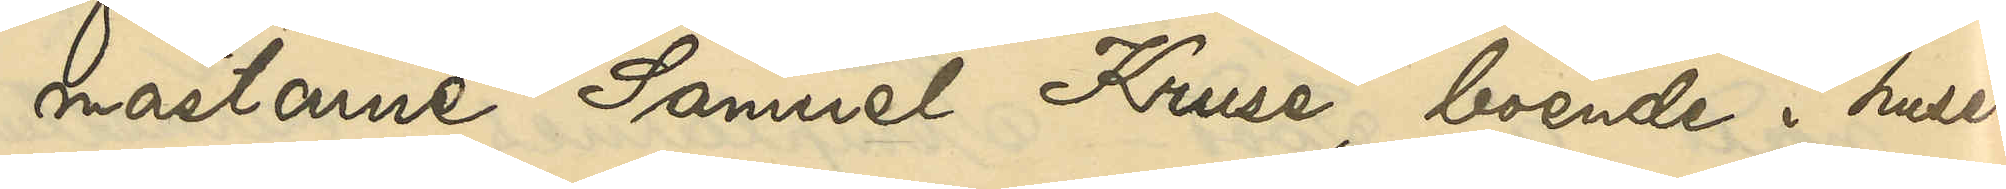mästarne Samuel Kruse, boende i huset
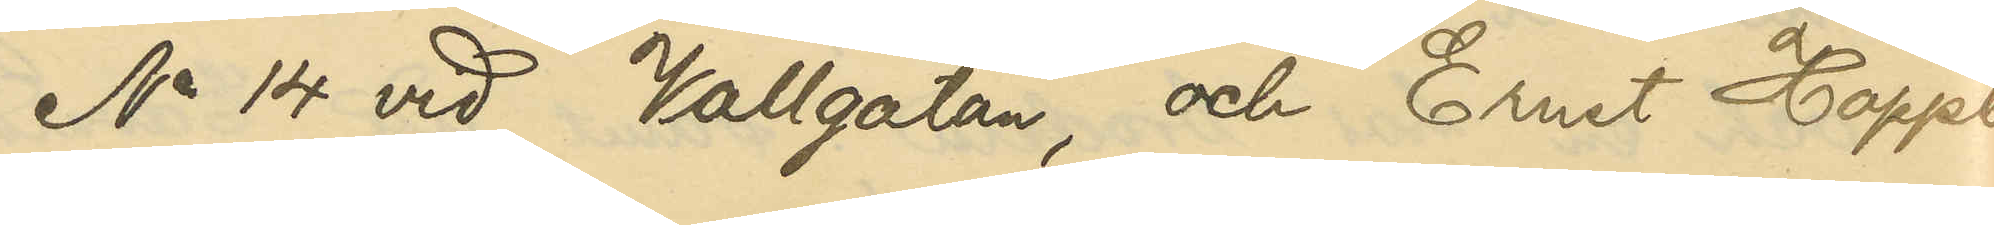No 14 vid Vallgatan, och Ernst Hoppe,
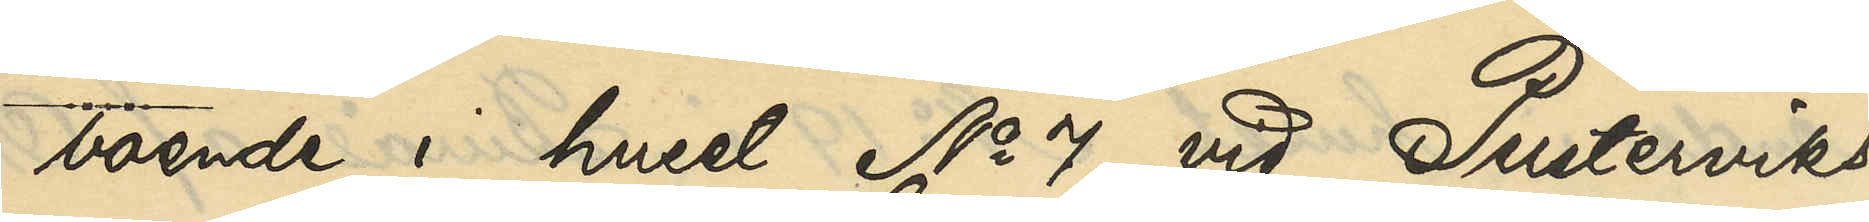boende i huset No 7 vid Pusterviks¬
